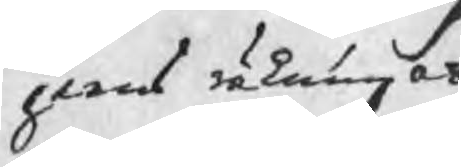jerns räkningar
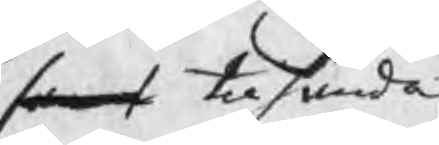samt tilhanda
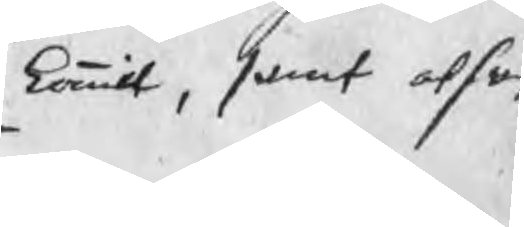kommit, samt at han
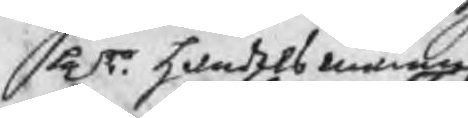Hrr handelsmännen
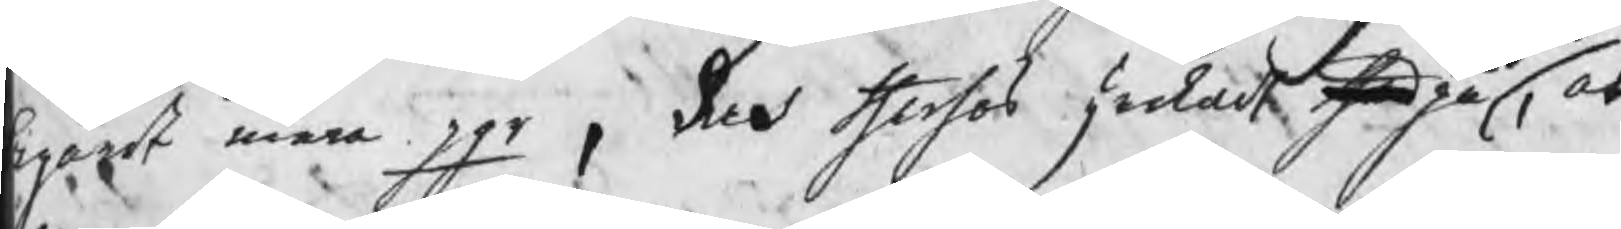begärdt mera pgr, Och therhos stod på, at
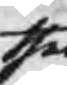thet
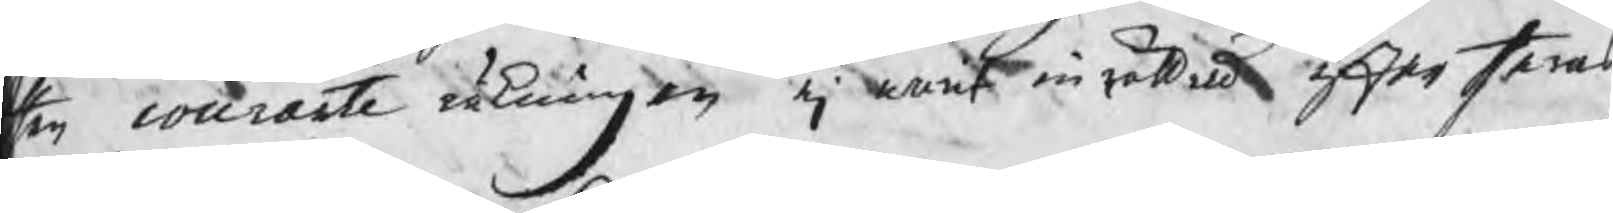en courante räkningen ej warit inrättad efter theras
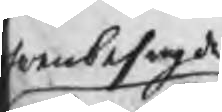vanbesagde
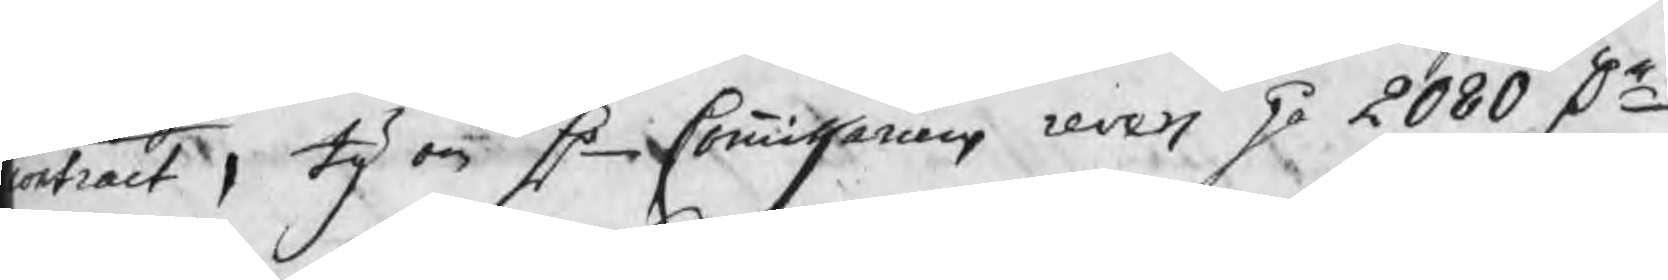ntract, ty om Hr Commissariens revers på 2080 Dr
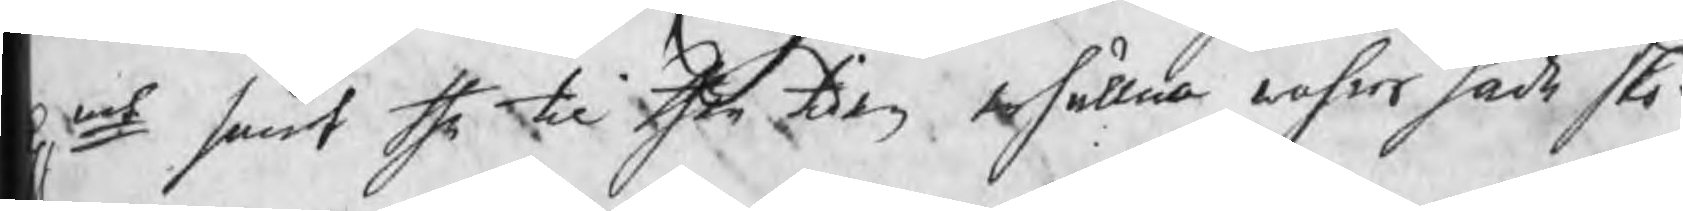pmt samt the til then tiden erhållna vahror hade sko¬
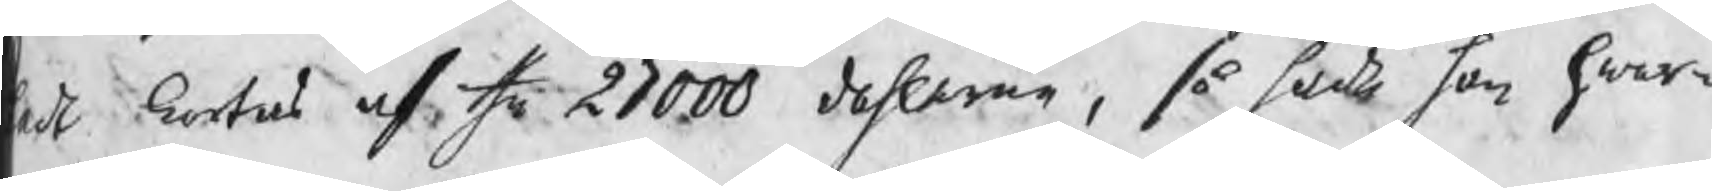adt kprtas af the 27000 dahlerne, så hade han hwar¬
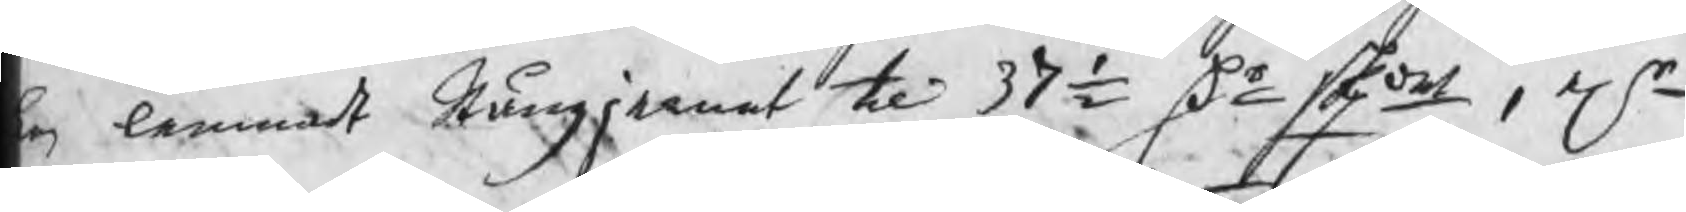en lemnadt Stångjernet til 37½ Dr skpdet, elr
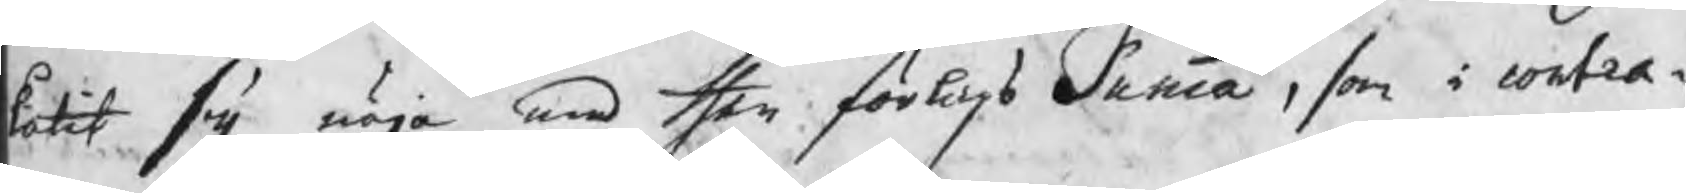låtit sig nöja med then förlags Summa, som i contra¬
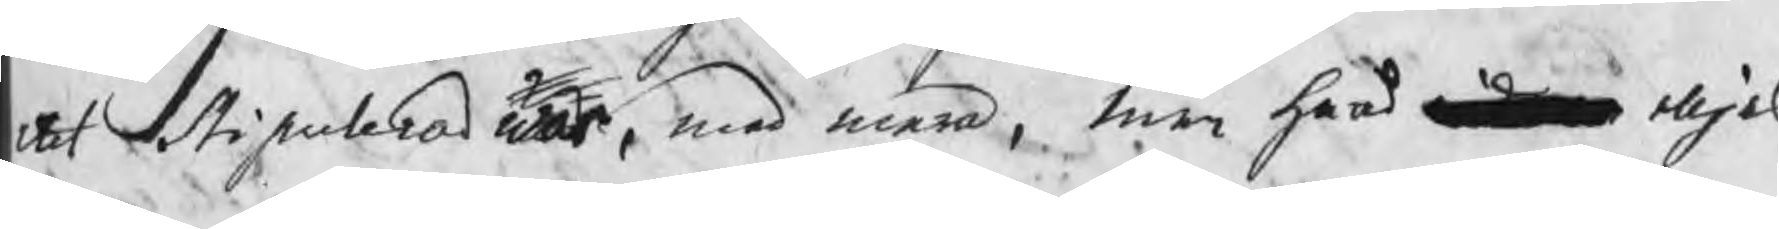ctet Stipulerad är, med mera, men hvad widare eljes
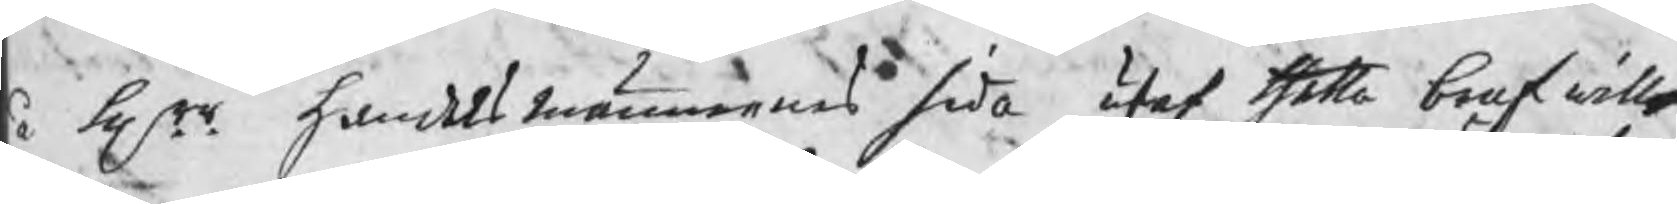å Hrr handelsmännens sida utaf thetta bref wille
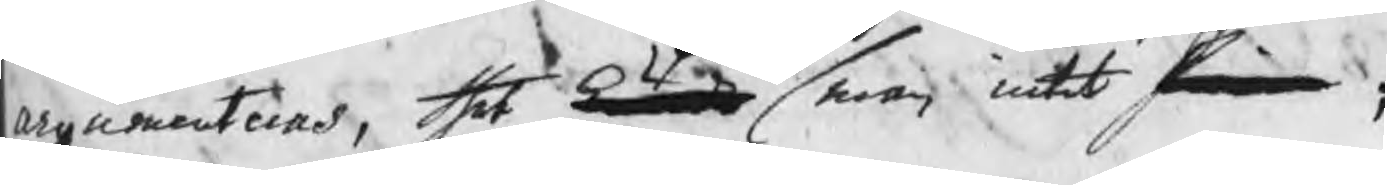argumenteras, thet kunde man intet finna; I
